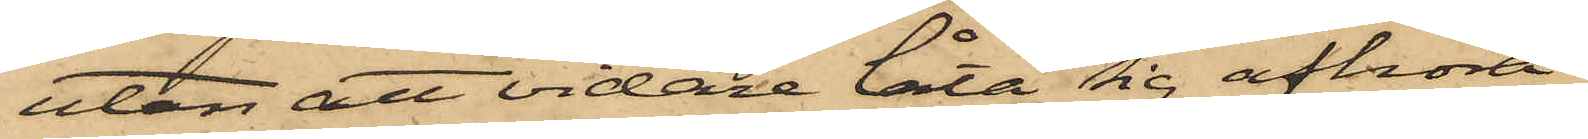utan att vidare låta sig afhöra.
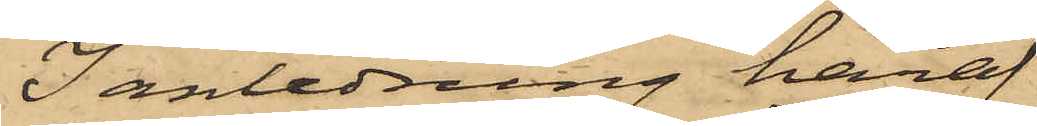I anledning häraf
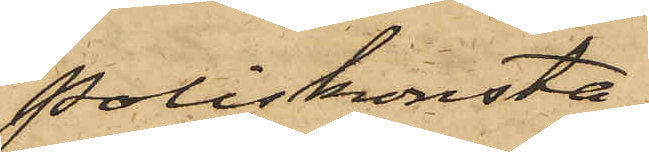Poliskonsta¬
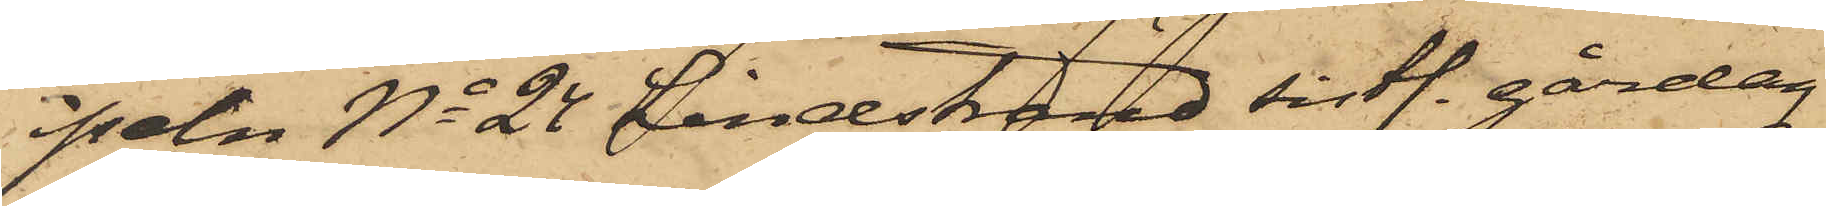peln No 24 Lindstrand sist. gårdag
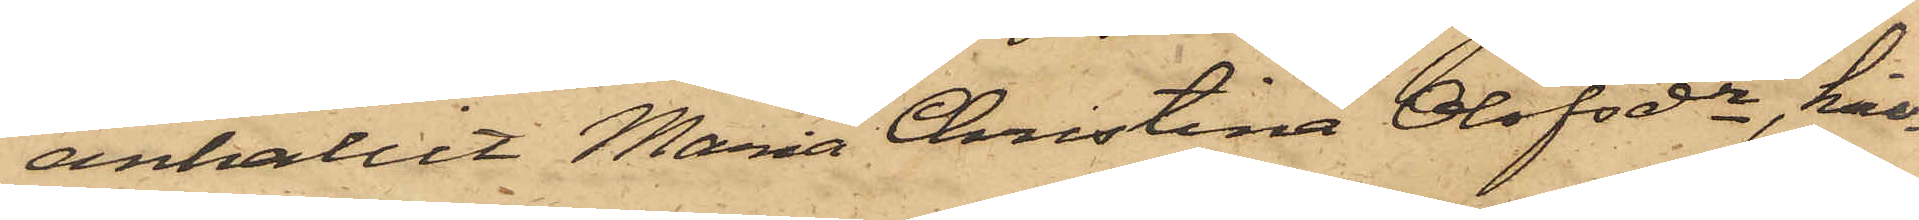anhållit Maria Christina Olofsdr, hvil¬
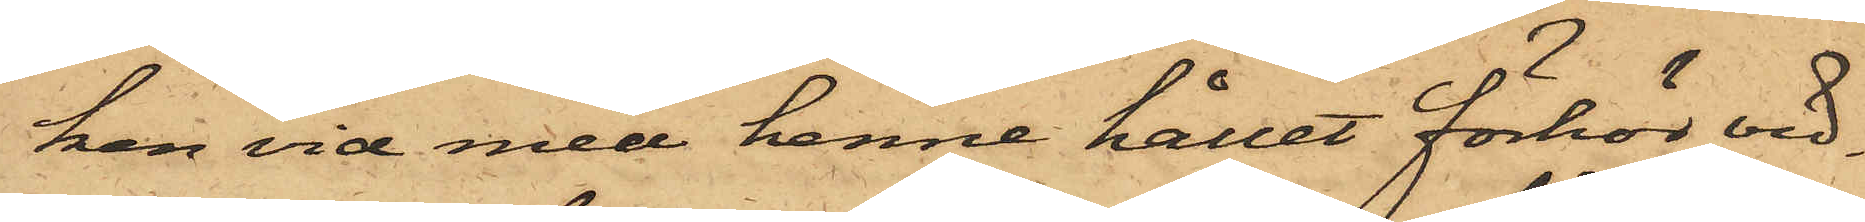ken vid med henne hållet förhör vid¬
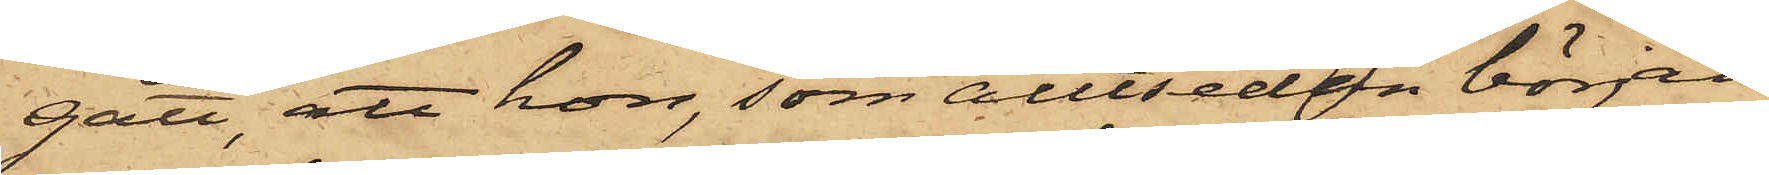gått, att hon, som alltsedan början
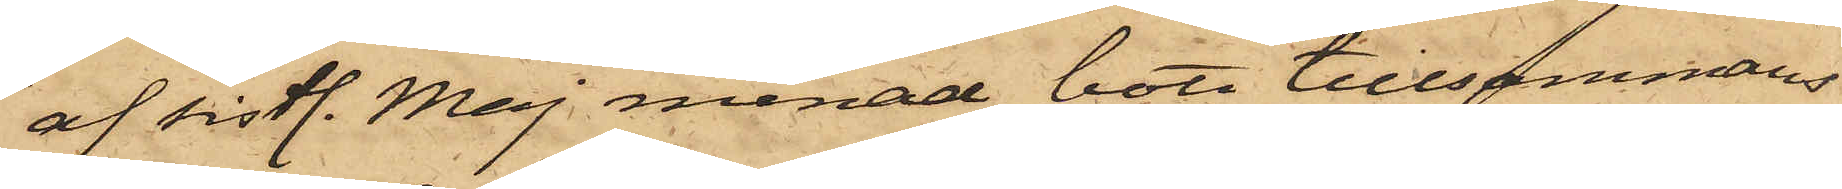af sistl. Maj månad bott tillsammans
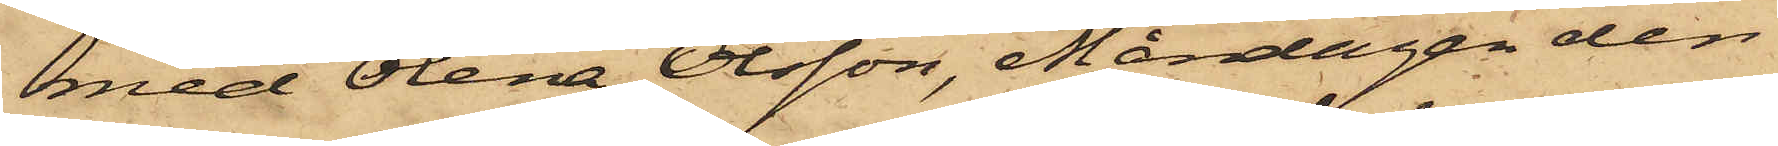med Olena Olsson, Måndagen den
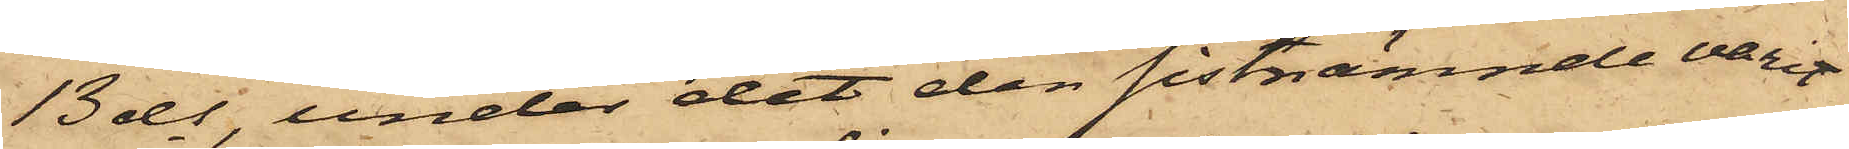13 ds, under det den sistnämnde varit
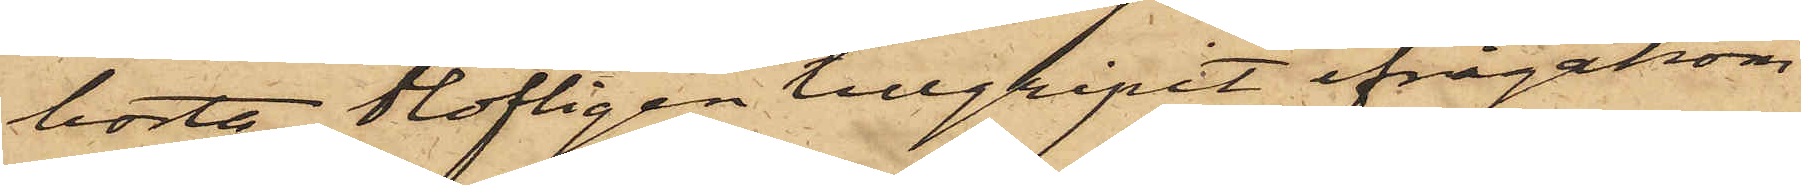borta, olofligen tillgripit ifrågakom¬
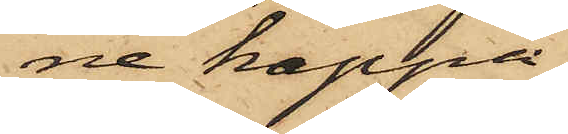ne kappa,
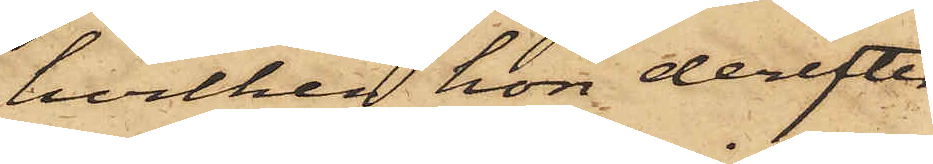hvilken hon derefter
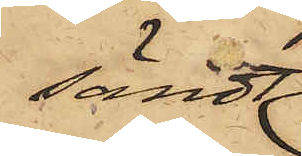sändt
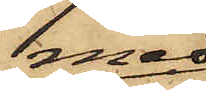med
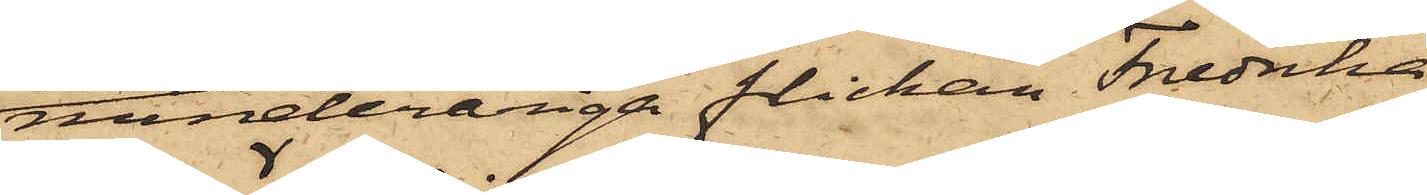minderåriga flickan Fredrika
